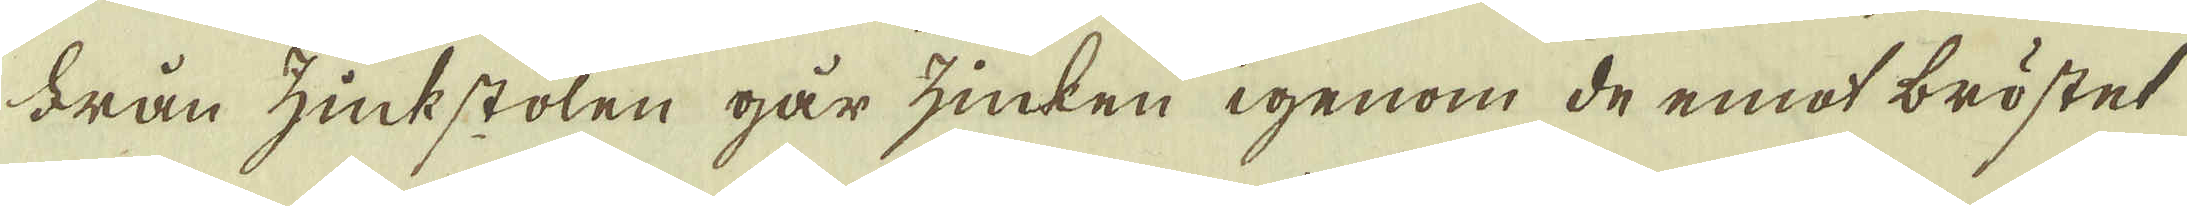Från zinkstolen går zinken igenom de emot bröstet
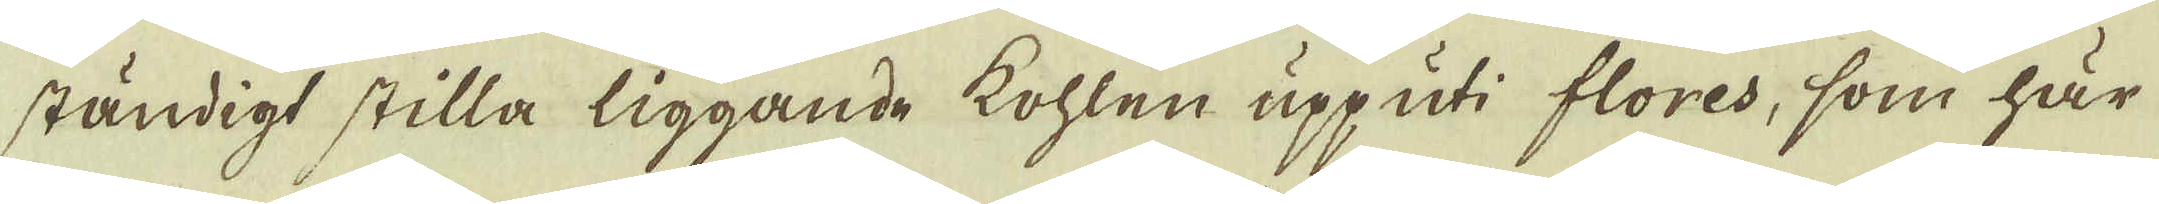ständigt stilla liggande kohlen upp uti flores, som här
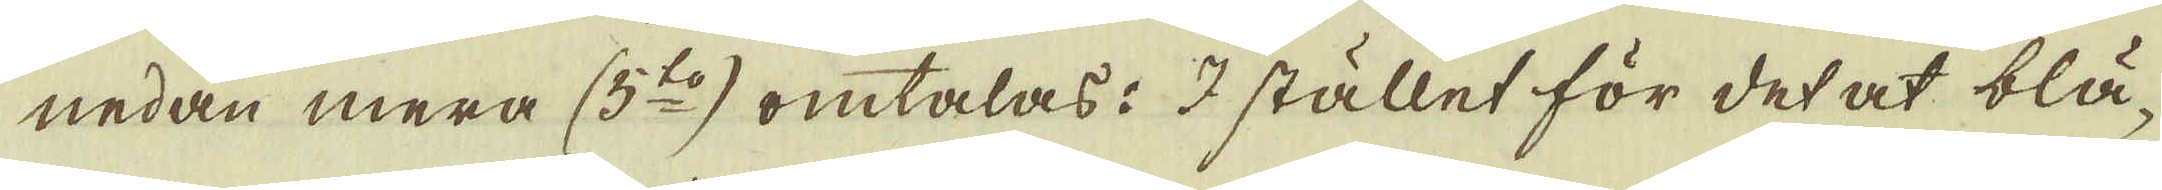nedan mera (5:to) omtalas: I stället för det at blä-
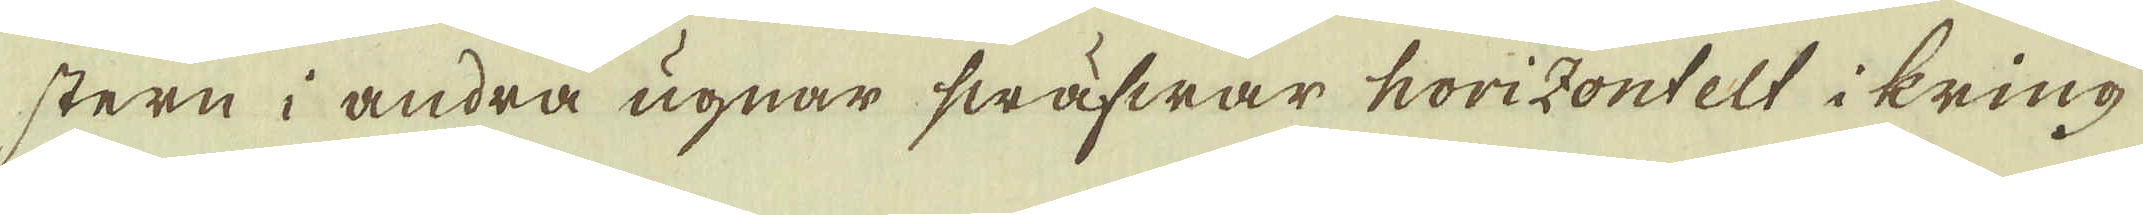stern i andra ugnar swäfwar horizontelt i kring
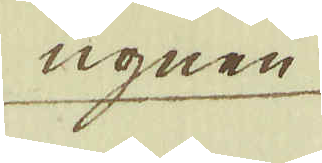ugnen
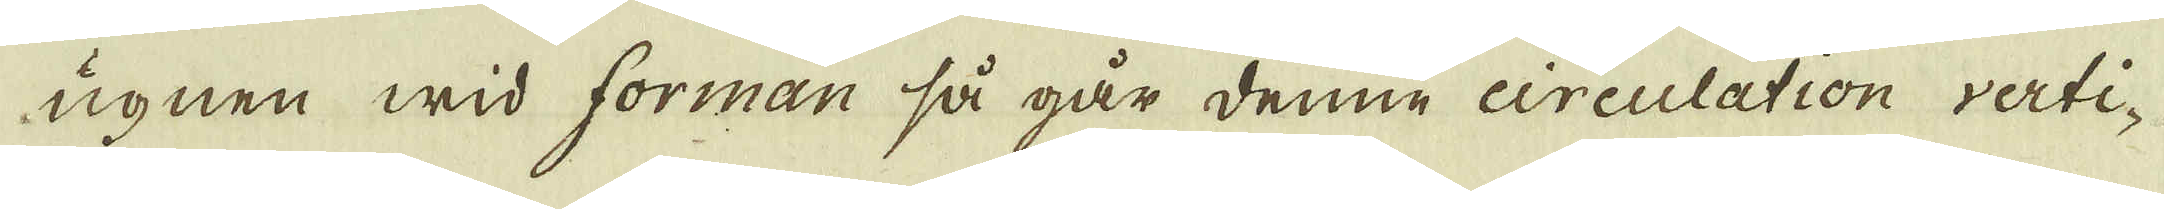ugnen wid forman så går denne circulation verti-
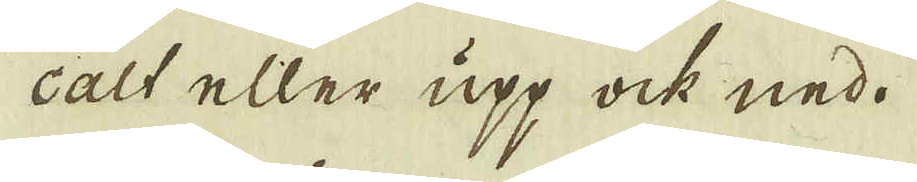calt eller upp ock ned.
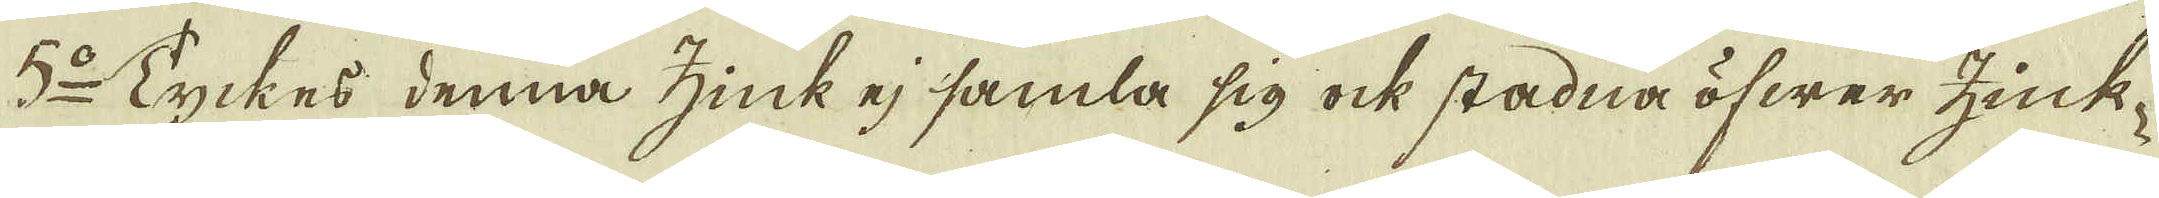5:o Tyckes denna zink ej samla sig ock stadna öfwer zink-
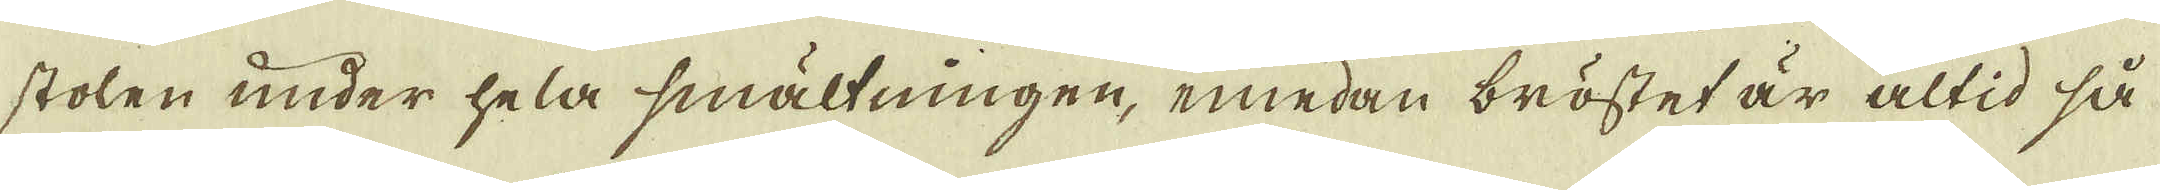stolen under hela smältningen, emedan bröstet är altid så
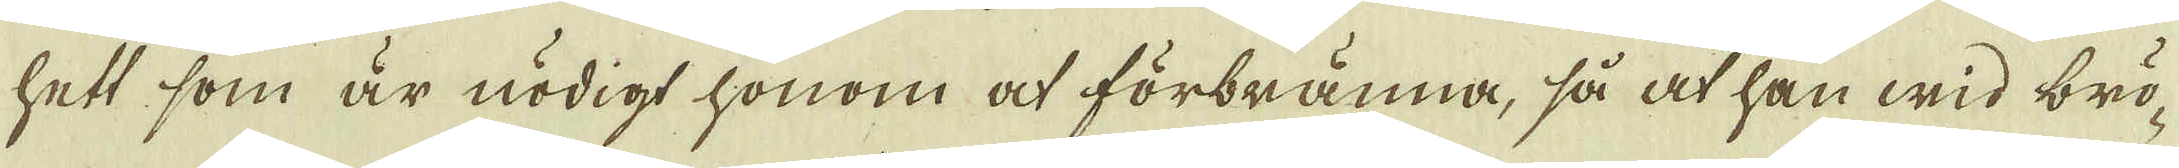hett, som är nödigt honom at förbränna, så at han wid brö-
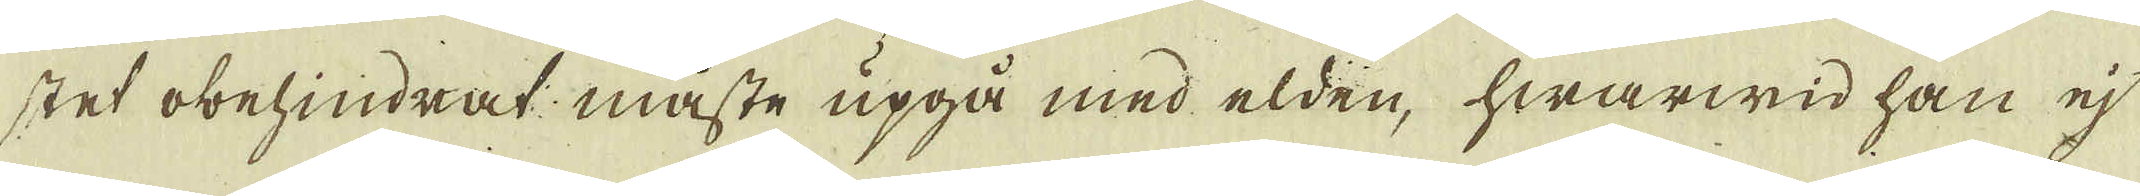stet obehindrat måste upgå med elden, hwarwid han ej
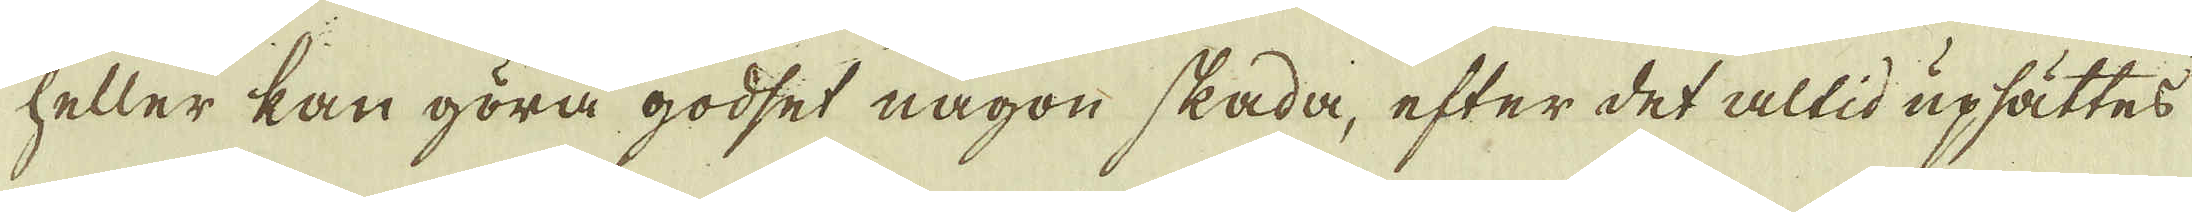heller kan göra godset någon skada, efter det altid upsättes
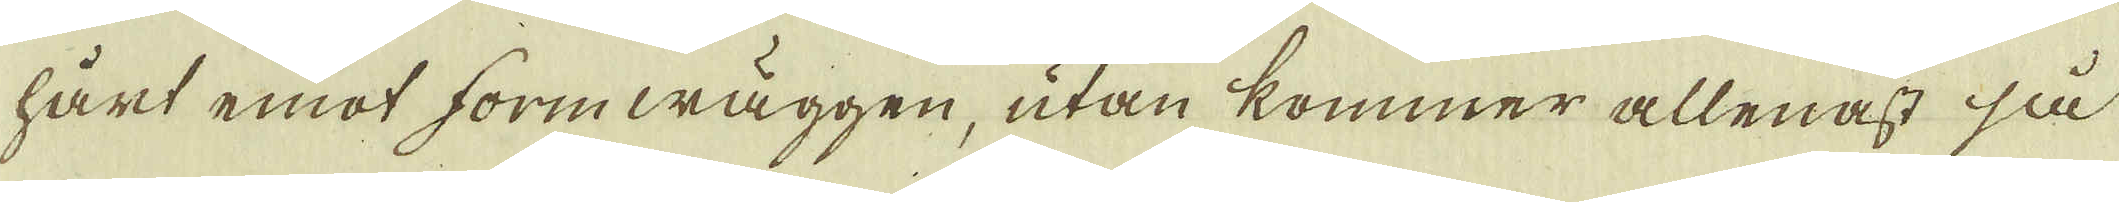hårt emot formwäggen, utan kommer allenast så
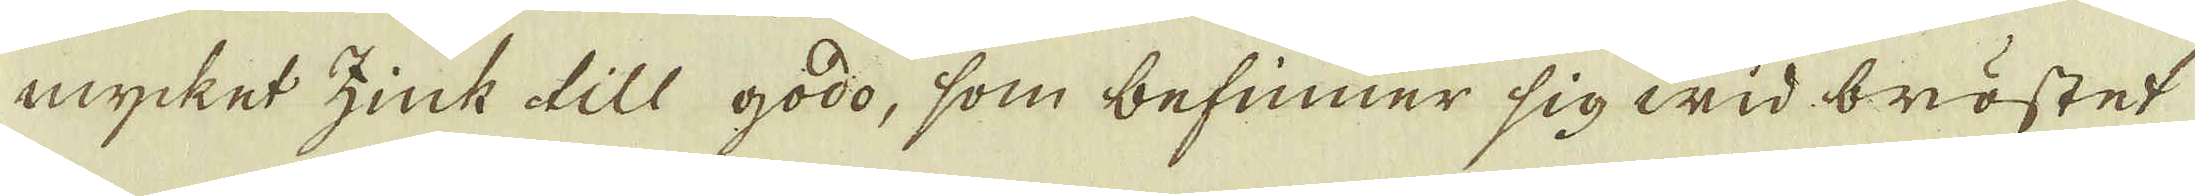mycket zink till godo, som befinner sig wid bröstet
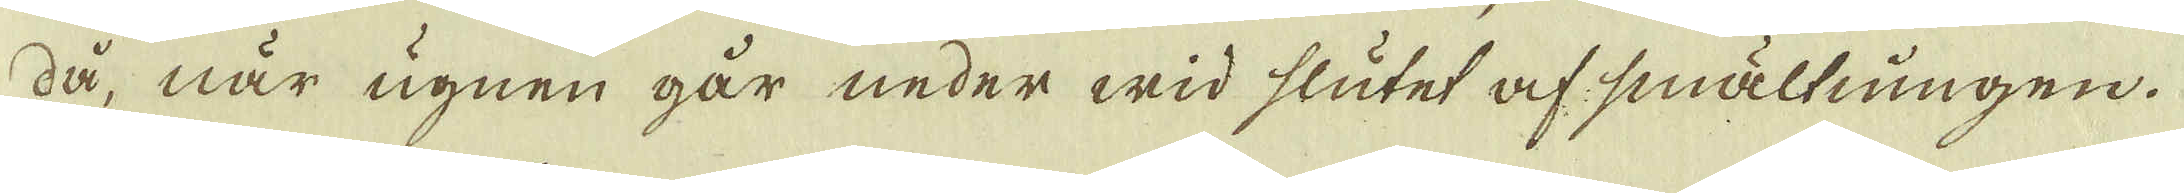då, när ugnen går neder wid slutet af smällningen.
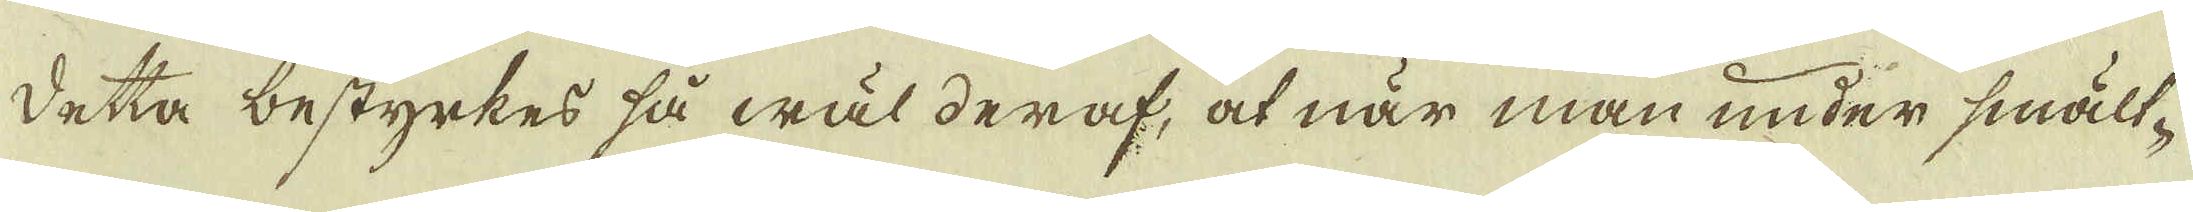Detta bestyrkes så wäl deraf, at när man under smält-
